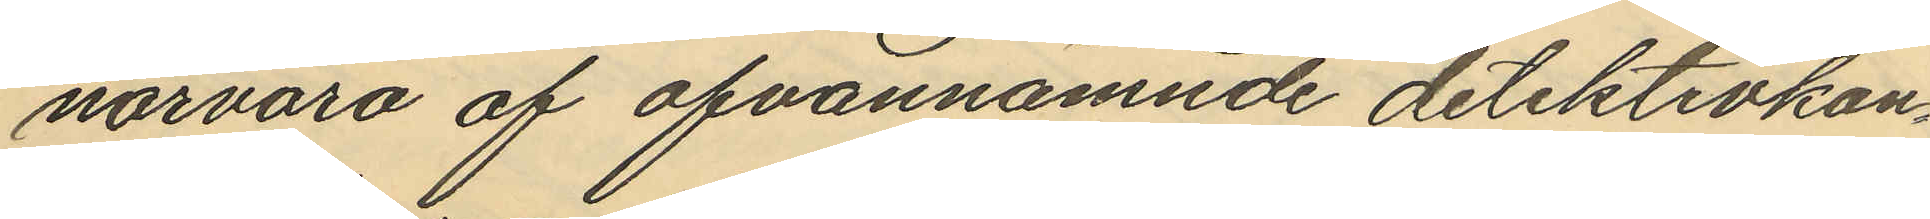närvaro af ofvannämnde detektivkon¬
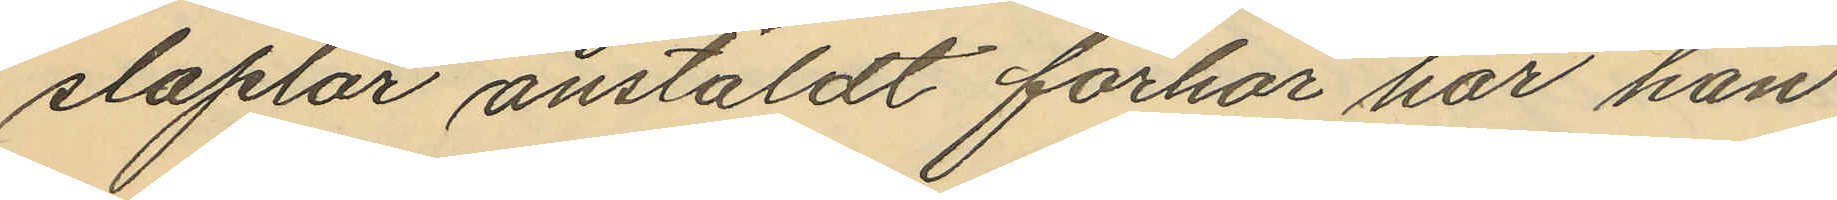staplar anstäldt förhör har han
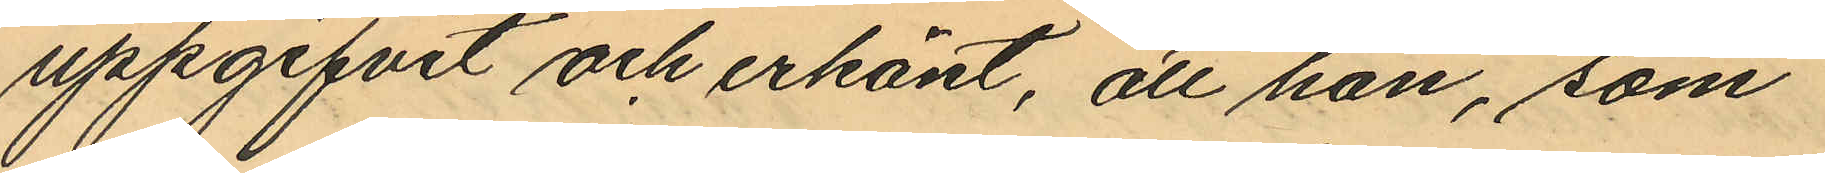uppgifvit och erkänt, att han, som
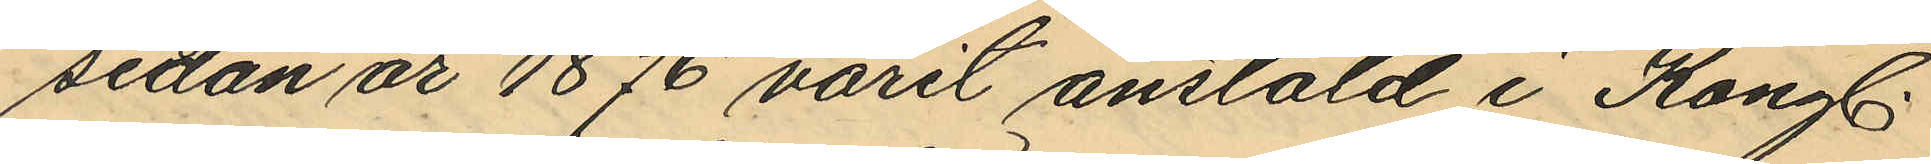sedan år 1876 varit anstäld i Kongl.
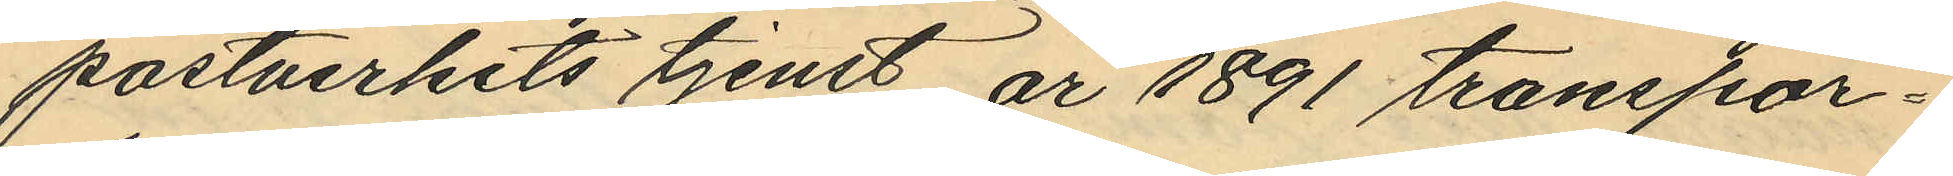postverkets tjenst, år 1891 transpor¬
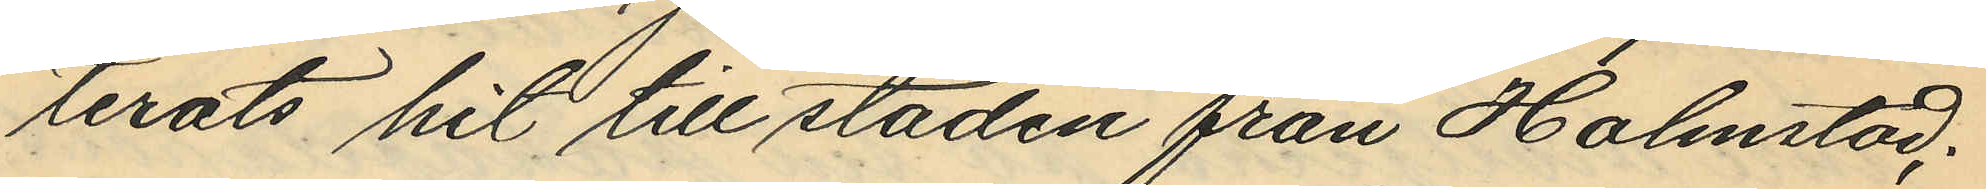terats hit tillstaden från Halmstad;
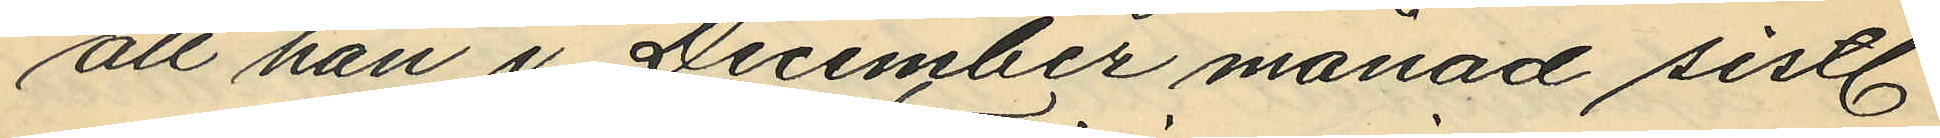att han i December månad sistl.
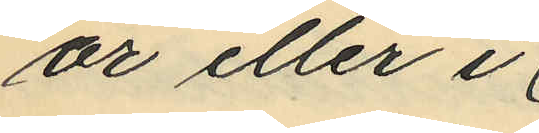år eller i
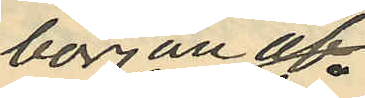början av
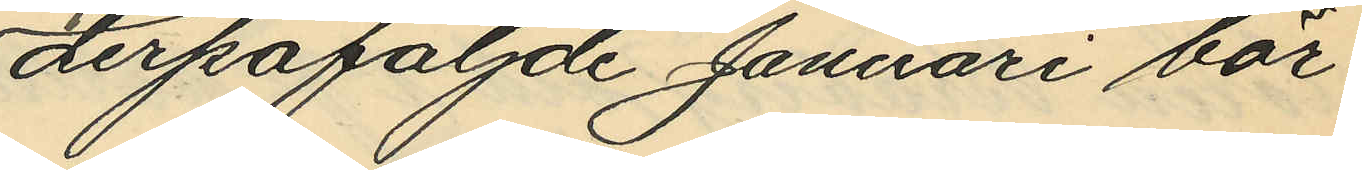derpåföljde Januari bör¬
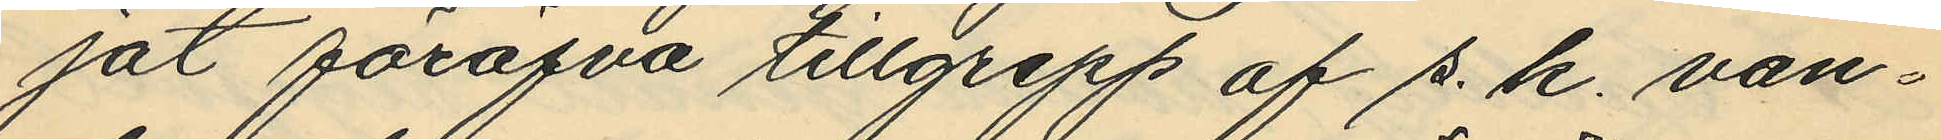jat föröfva tillgrepp af s. k. van¬
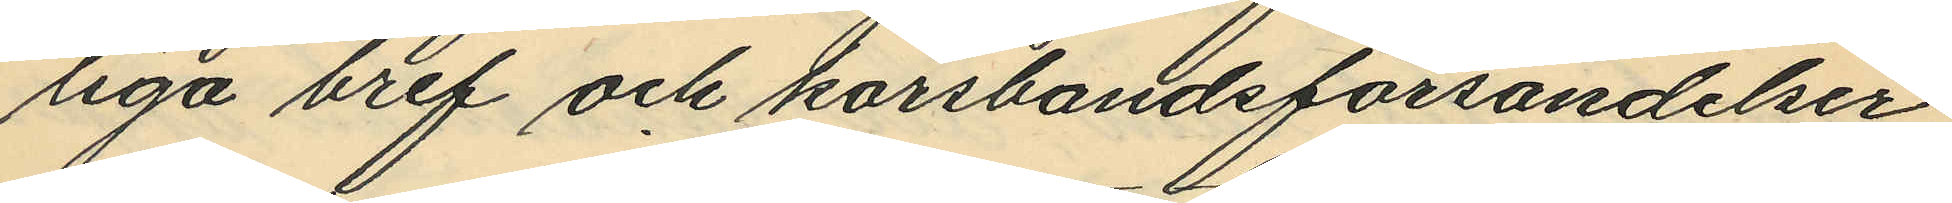liga bref och korsbandsförsändelser
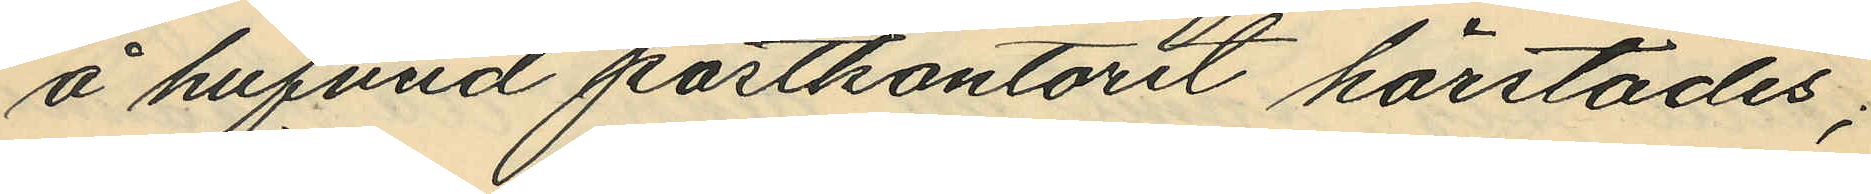å hufvud postkontoret härstädes;
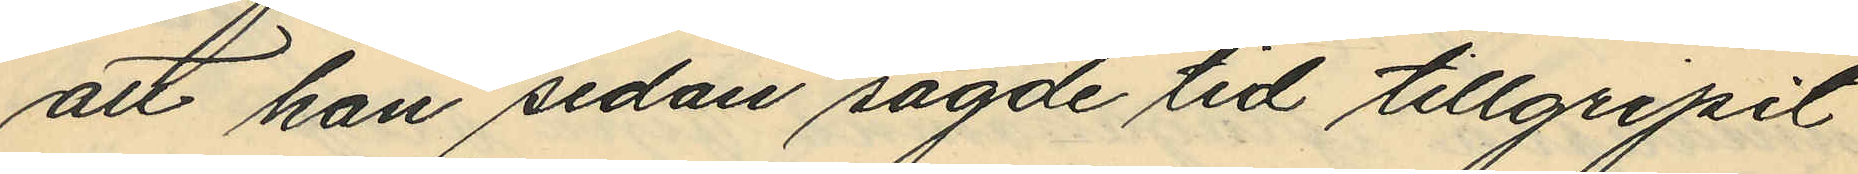att han sedan sagde tid tillgripit
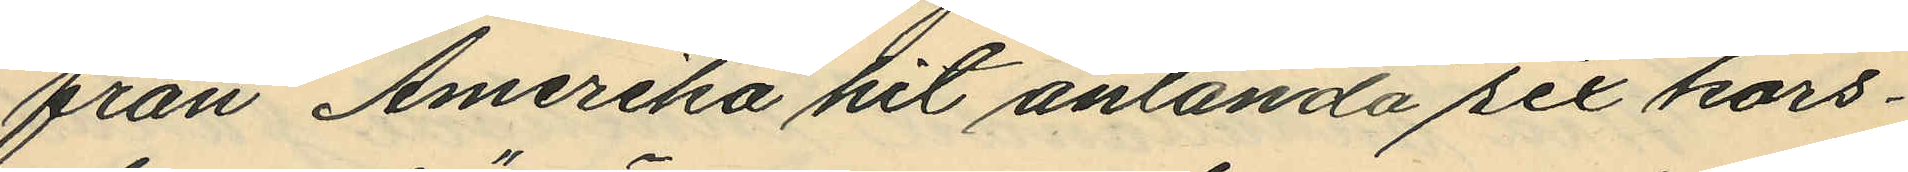från Amerika hit anlända sex kors¬
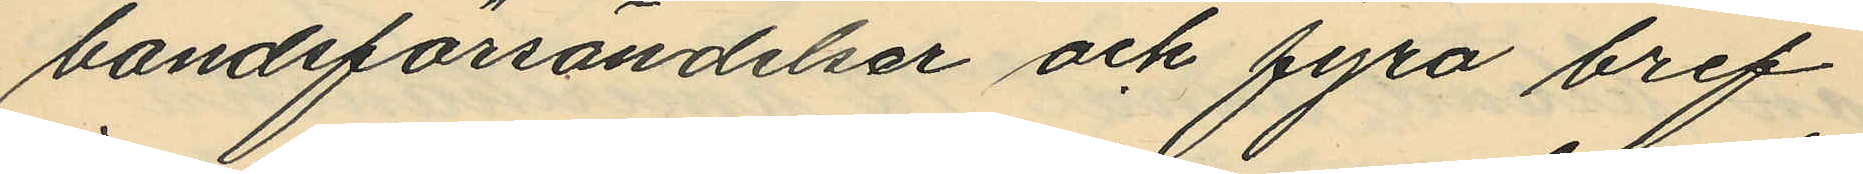bandsförsändelser och fyra bref
